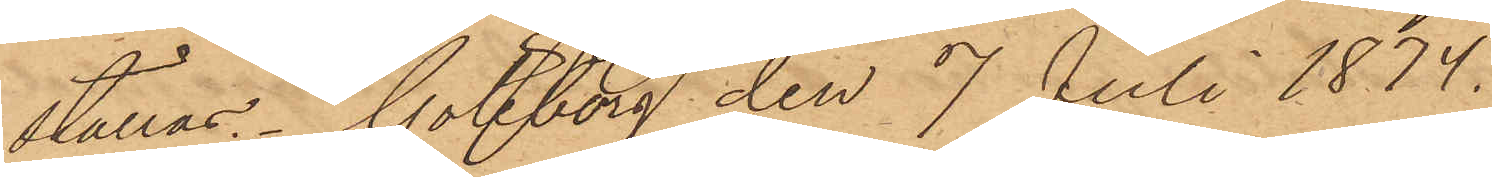ställas. Göteborg den 7 Juli 1874.
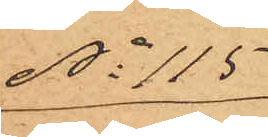No 115
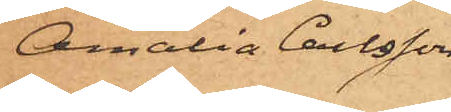Amalia Carlsson
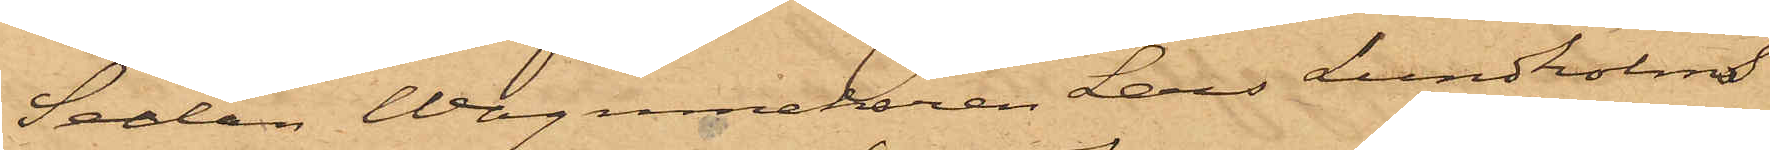Sedan Wagnmakaren Lars Lundholms
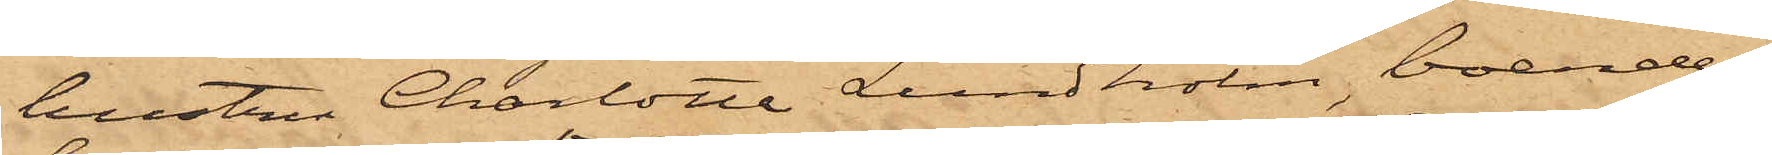hustru Charlotta Lundholm, boende
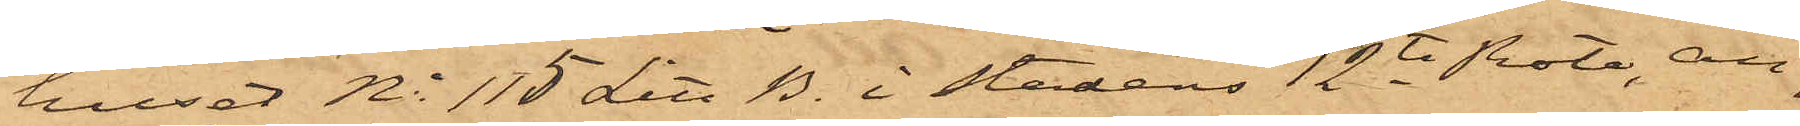huset No 115 Litt B. i stadens 12te Rote, an¬
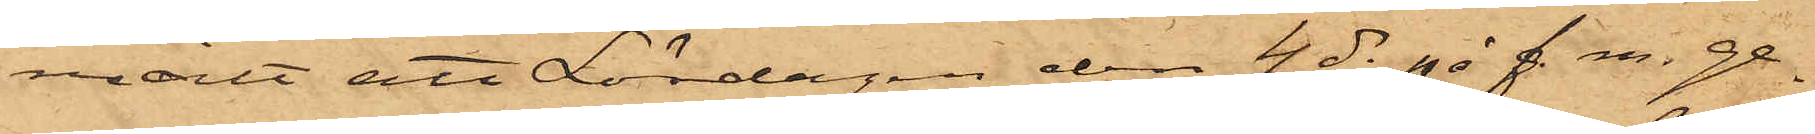mält att Lördagen den 4 ds på f. m. ge¬
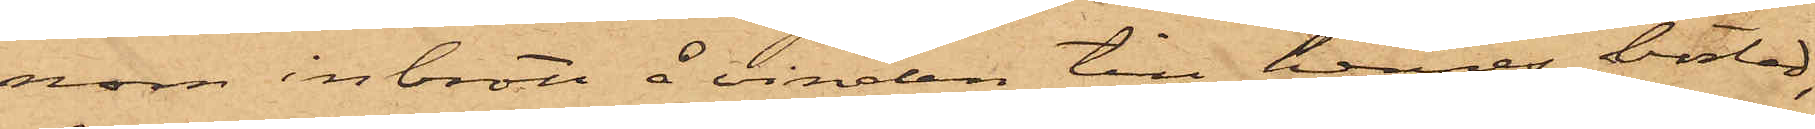nom inbrott å vinden till hennes bostad,
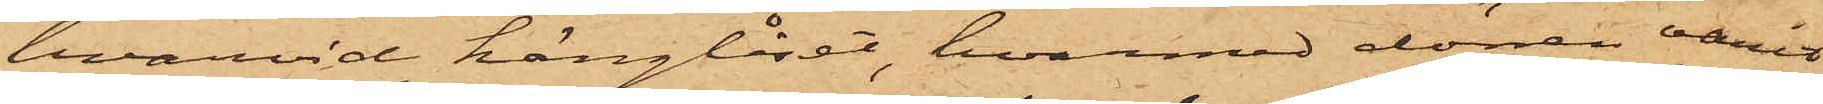hvarvid hänglåset, hvarmed dörren varit
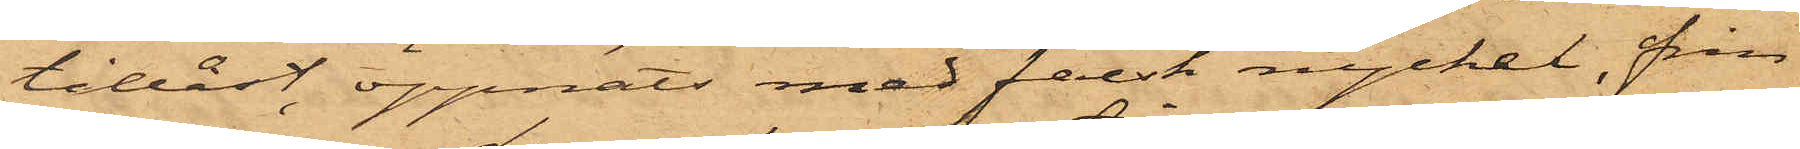tillåst, öppnats med falsk nyckel, från
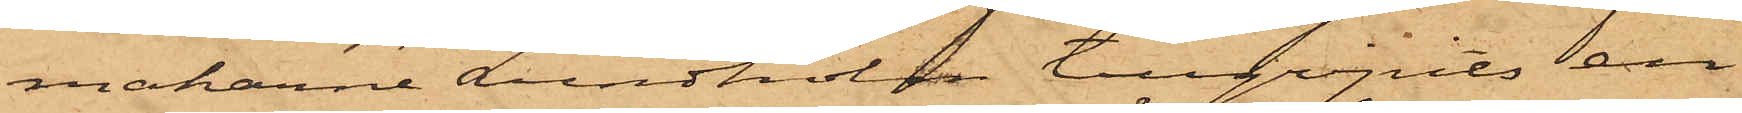makarne Lundholm tillgripits en
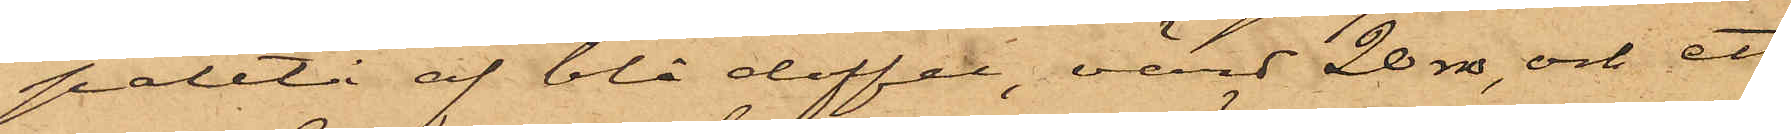paletå af blå doffel, värd 20 rdr, och ett
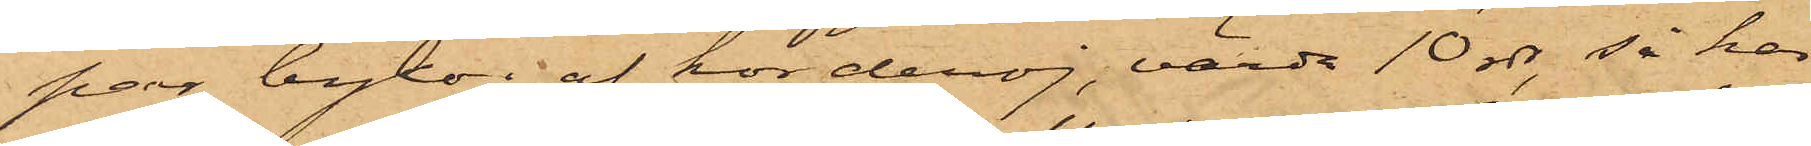par byxor af korderoj, värde 10 rdr, så har
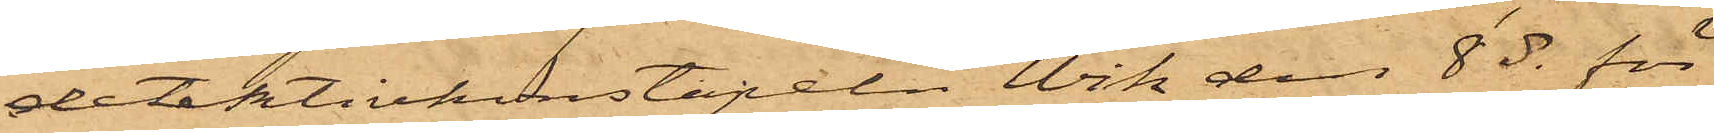detektivkonstapeln Wik den 8 ds för
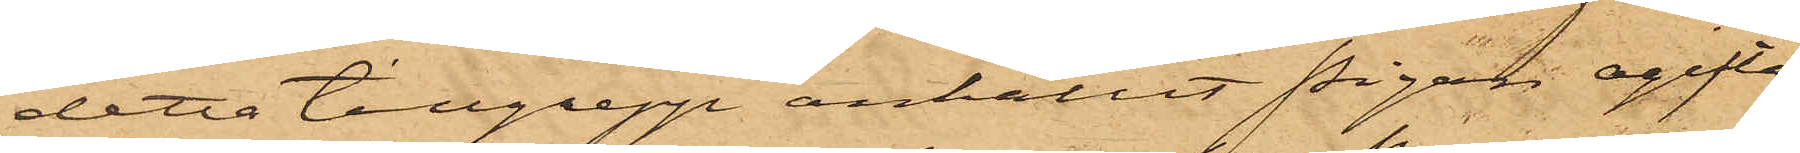detta tillgrepp anhållit pigan ogifta
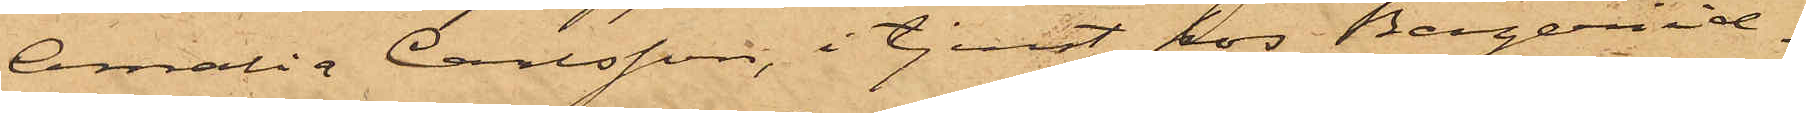Amalia Carlsson, i tjenst hos Bageriid¬
